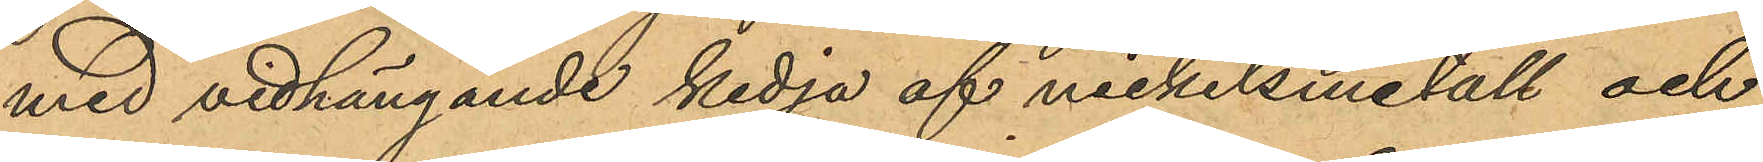med vidhängande kedja af nickelsmetall och
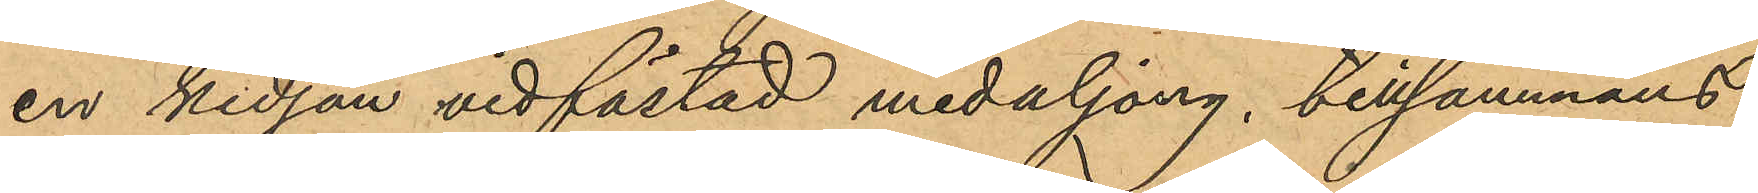en kedjan vidfästad medaljong, tillsammans
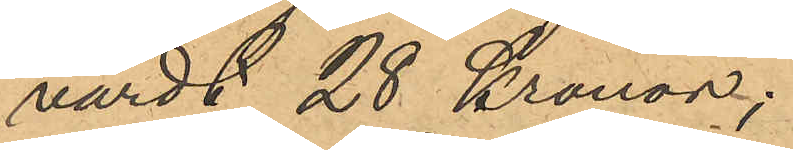värdt 28 Kronor;
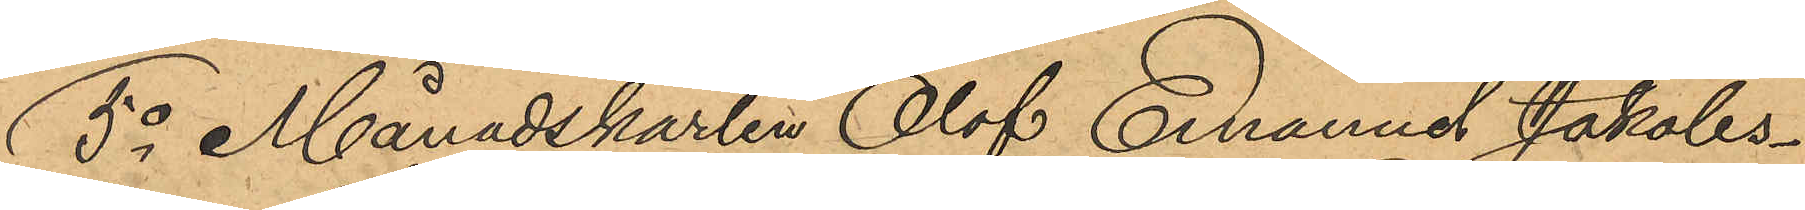5o Månadskarlen Olof Emanuel Jakobs¬
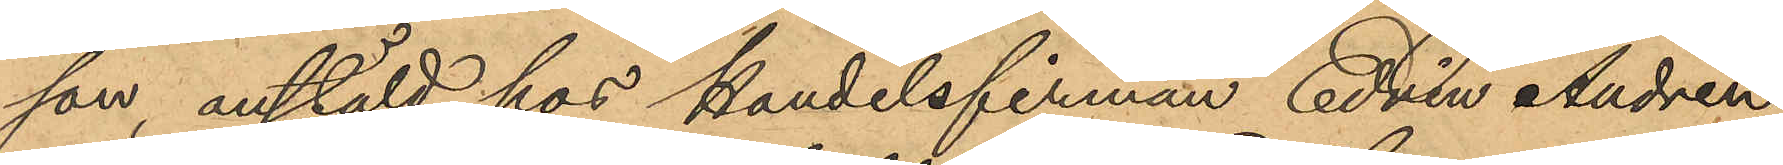son anstäld hos Handelsfirman Edvin Andrén
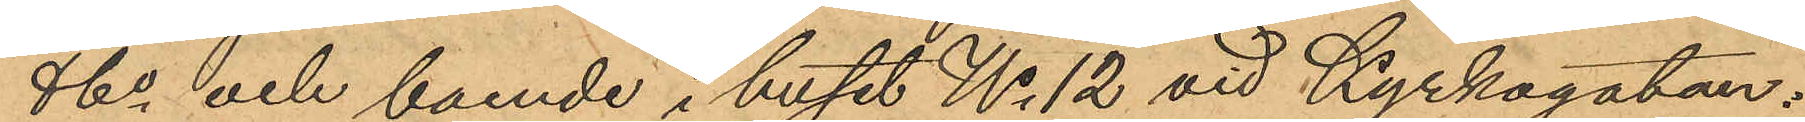& Co och boende i huset No 12 vid Kyrkogatan:
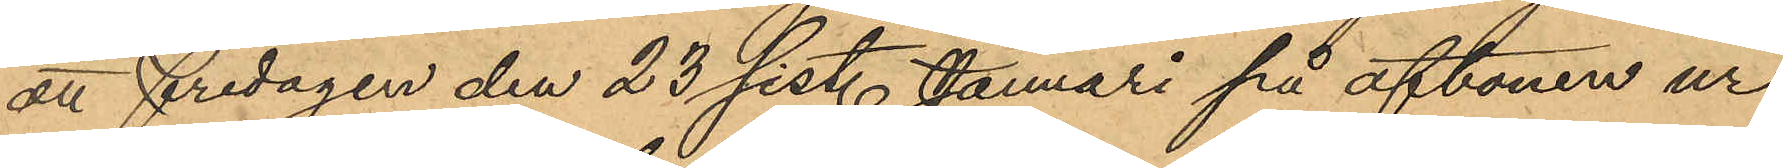att fredagen den 23 sist. Januari på aftonen ur
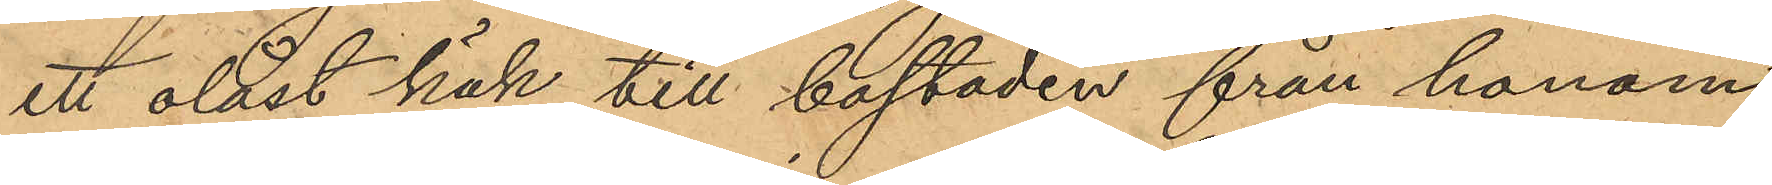ett olåst kök till bostaden från honom
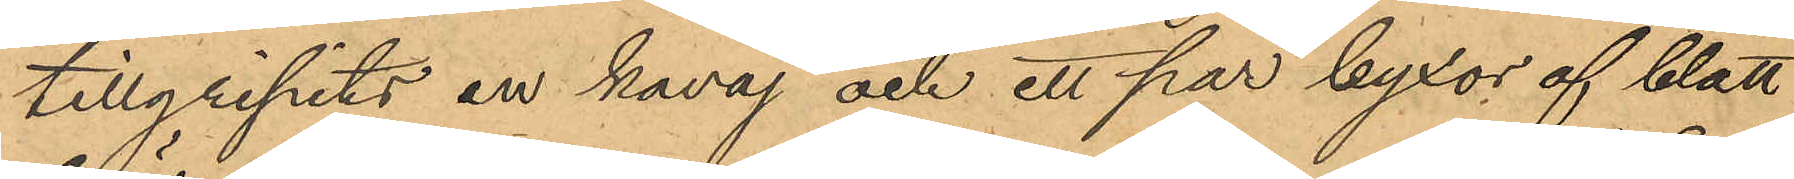tillgripits en kavaj och ett par byxor af blått
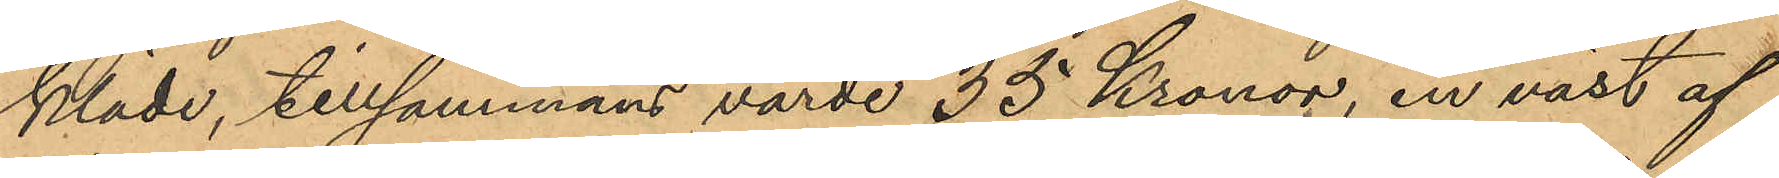kläde, tillsammans värde 35 Kronor, en väst af
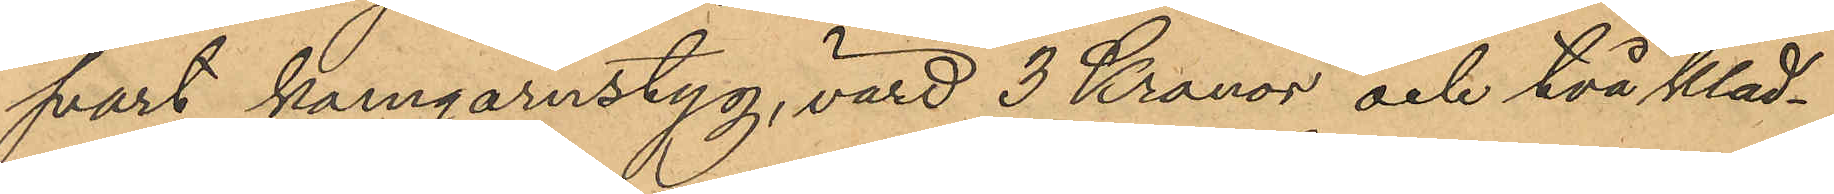svart kamgarnstyg, värd 3 Kronor och två kläd¬
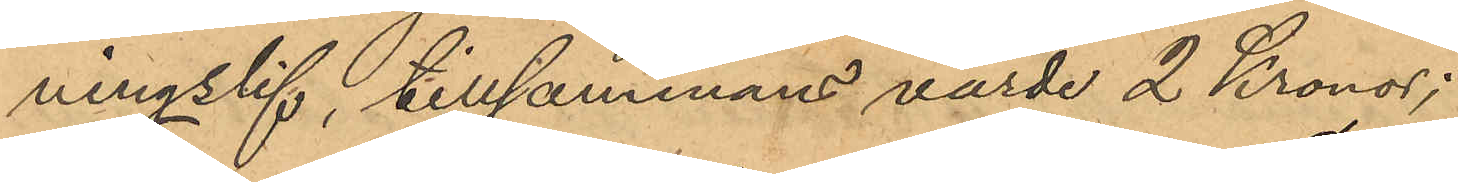ningslif tillsammans värde 2 Kronor;
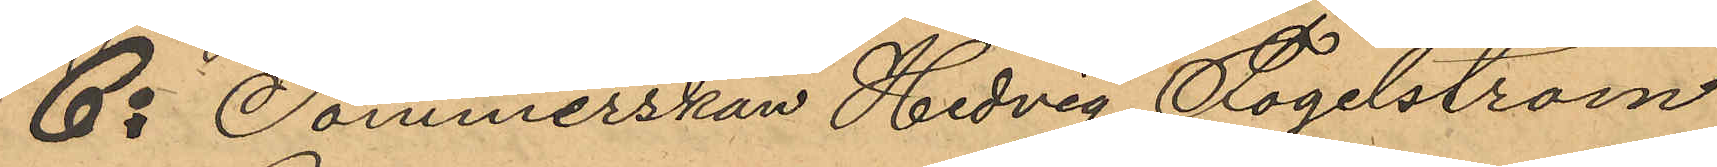6o Sömmerskan Hedvig Fogelström
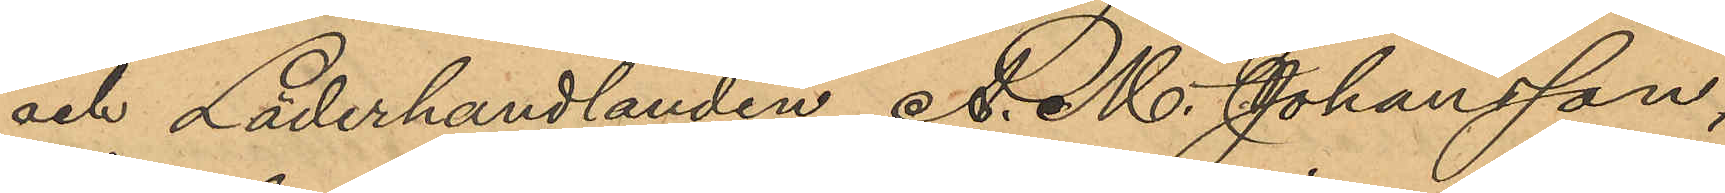och Läderhandlanden A. M. Johansson,
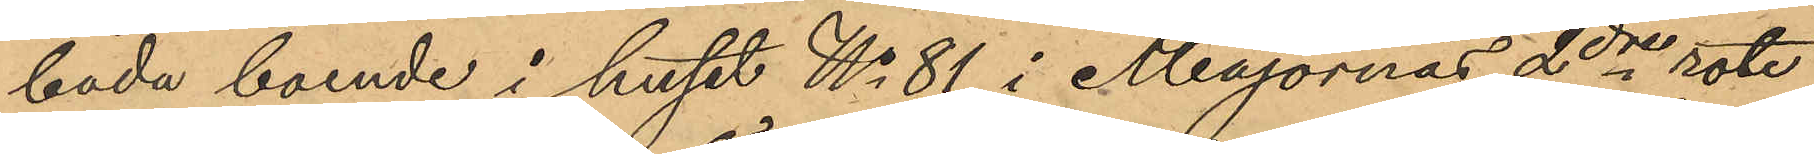båda boende i huset No 81 i Majornas 2dre rote,
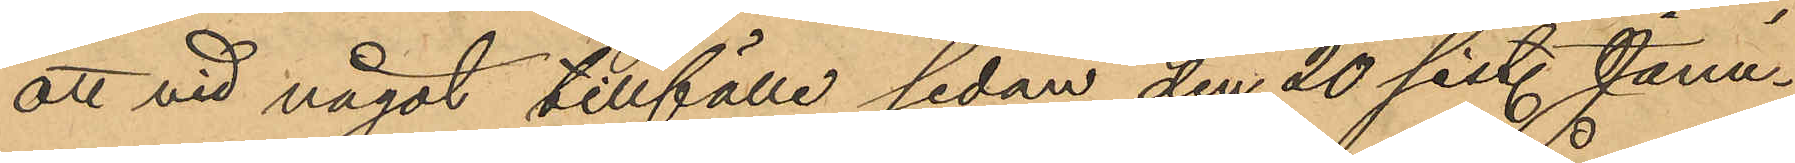att vid något tillfälle sedan den 20 sist. Janu¬
